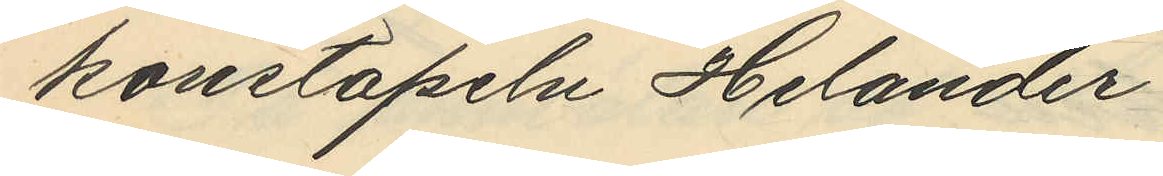konstapeln Helander.
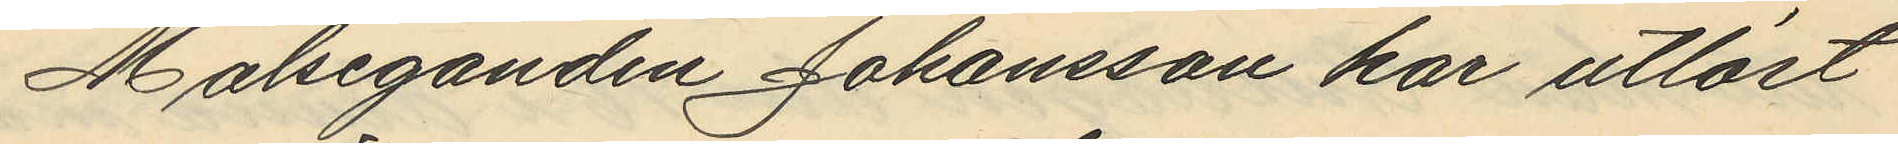Målseganden Johansson har utlöst
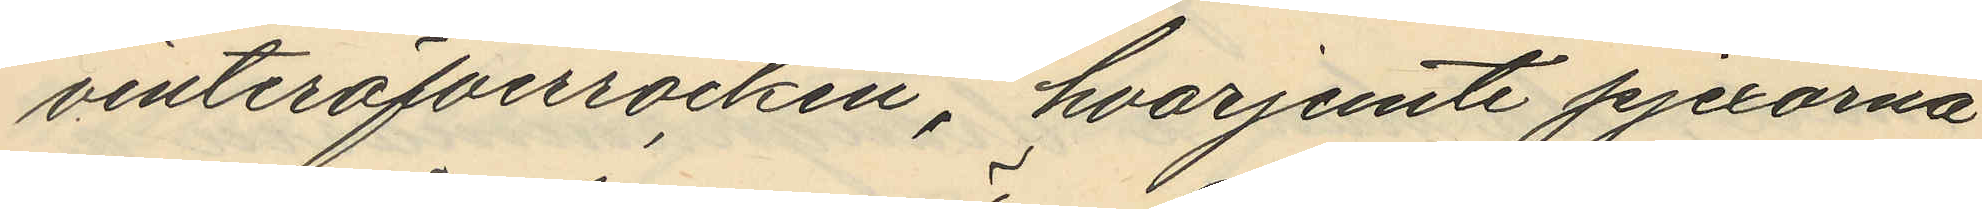vinteröfverrocken, hvarjemte pjexorna
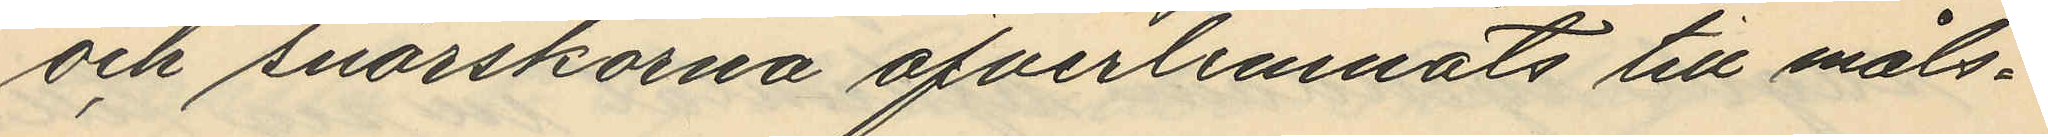och snörskorna öfverlemnats till måls¬
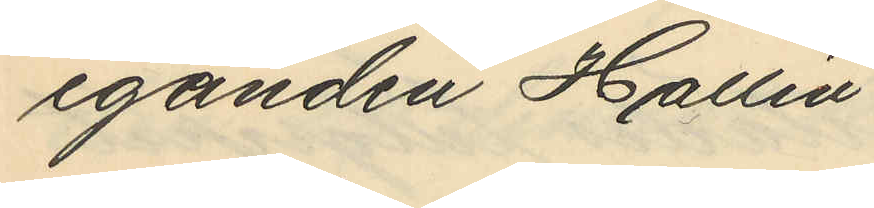eganden Hallin.
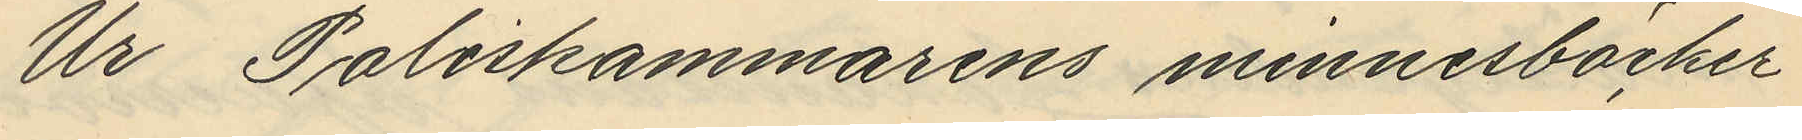Ur Poliskammarens minnesböcker
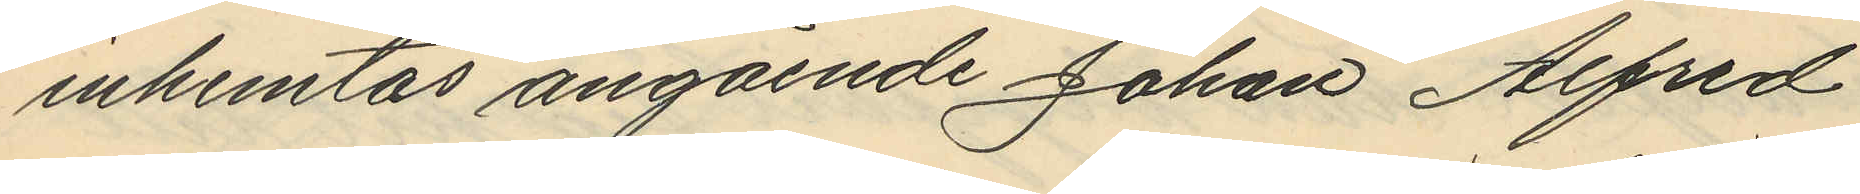inhemtas angående Johan Alfred
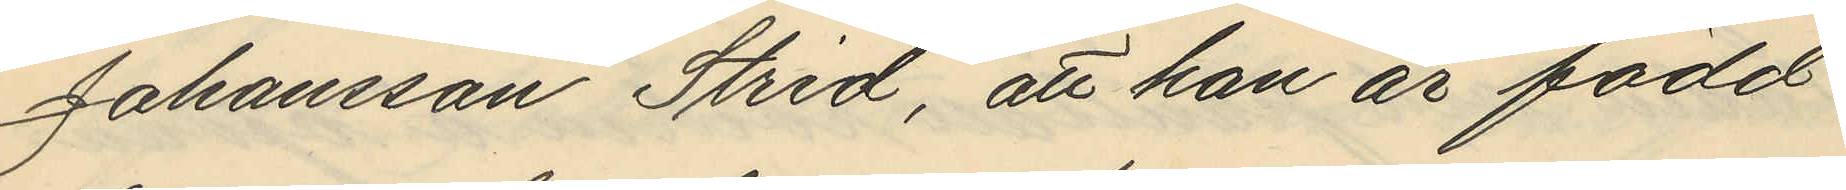Johansson Strid, att han är född
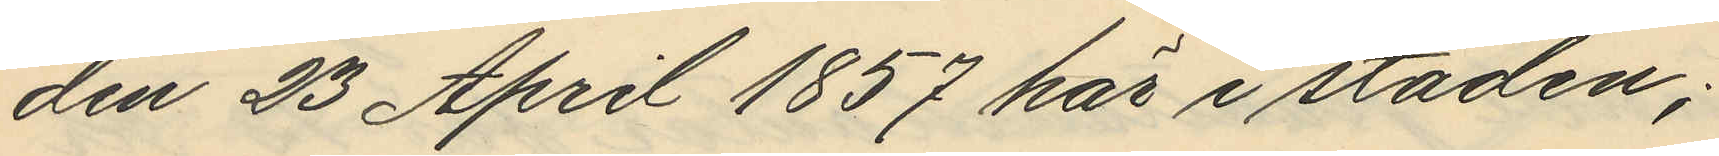den 23 April 1857 här i staden;
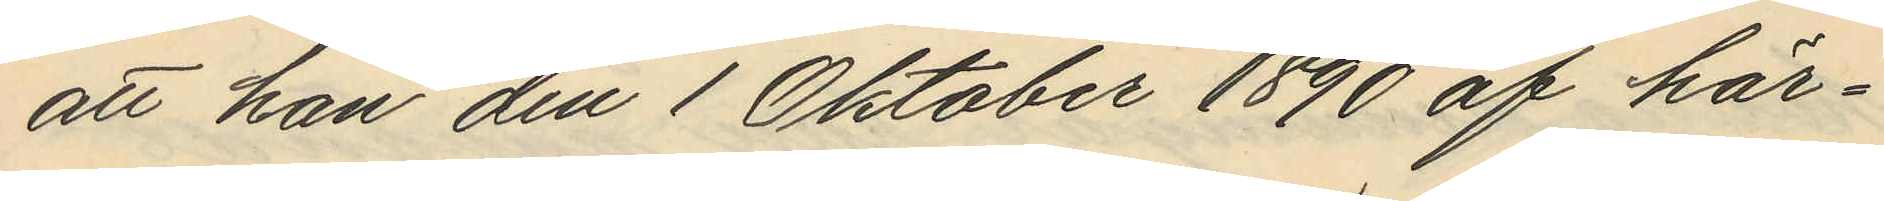att han den 1 Oktober 1890 af här¬
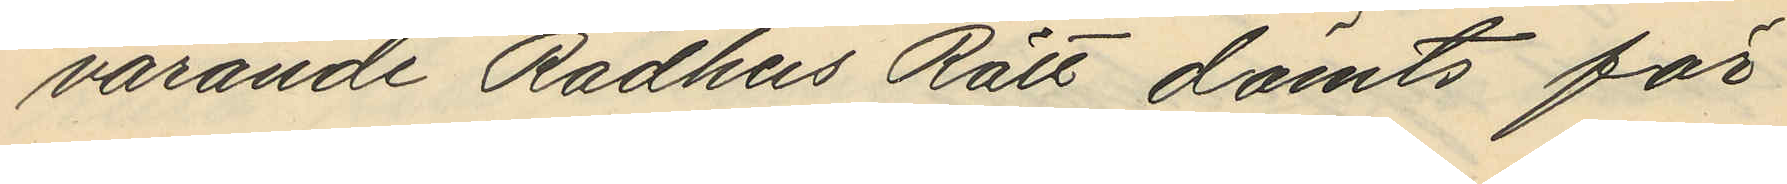varande Rådhus Rätt dömts för
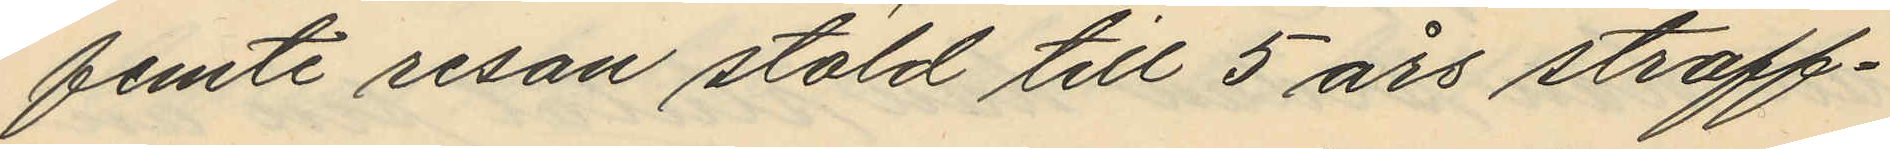femte resan stöld till 5 års straff¬
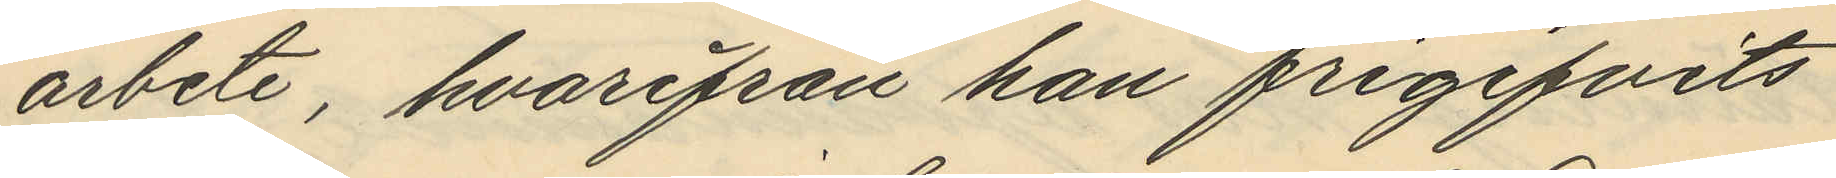arbete, hvarifrån han frigifvits
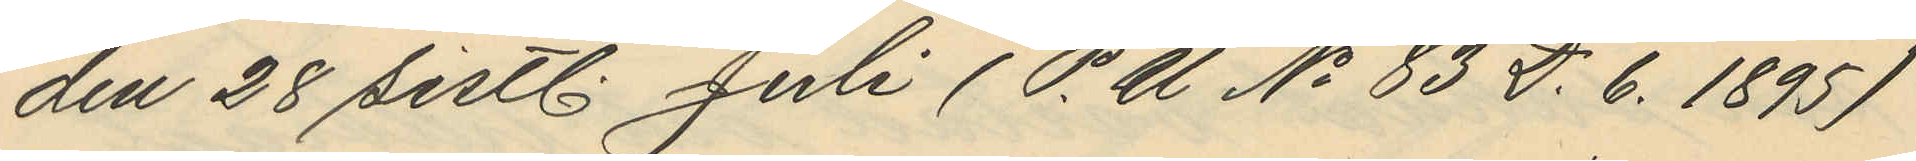den 28 sistl. Juli (P.U No 83 D. 6. 1895)
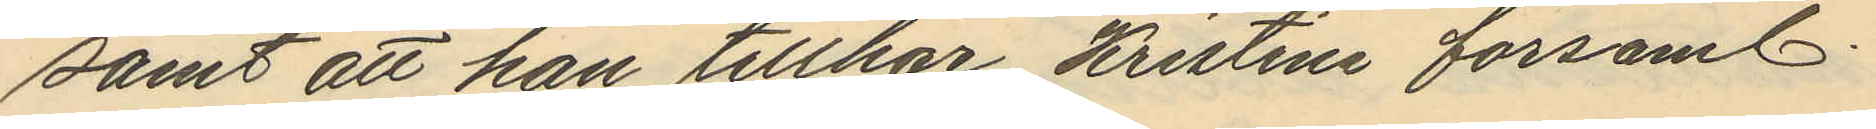samt att han tillhör Kristine församl.
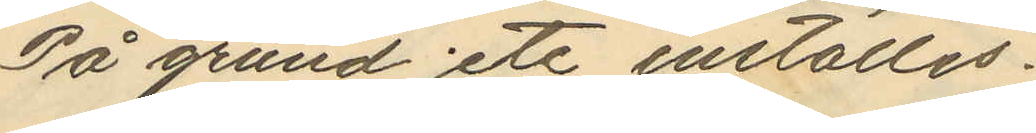På grund etc inställas.
